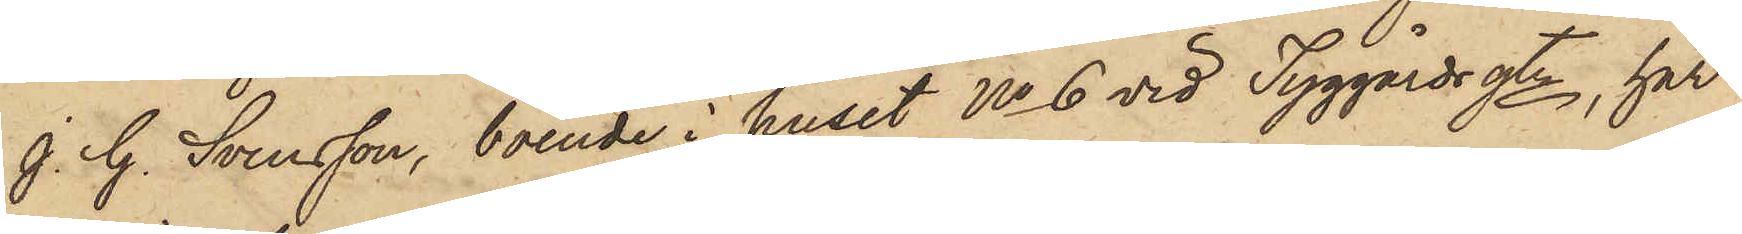J. G. Svensson, boende i huset No 6 vid Tyggårdsgtn, har
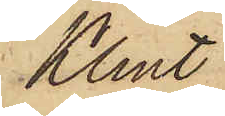Klint
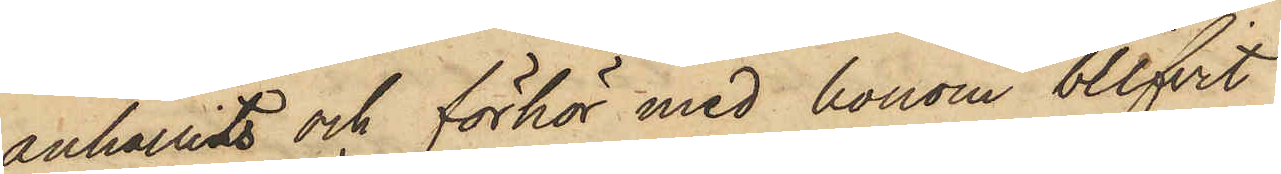anhållits och förhör med honom blifvit
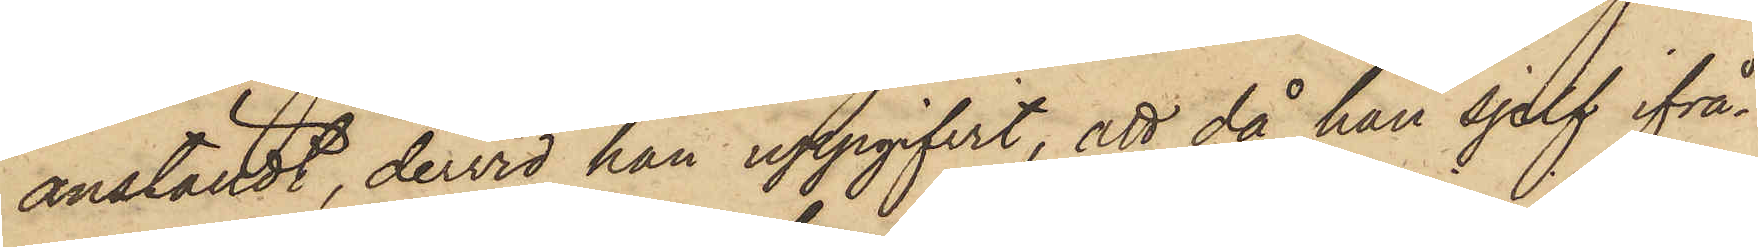anställdt, dervid han uppgifvit, att då han sjelf ifrå¬
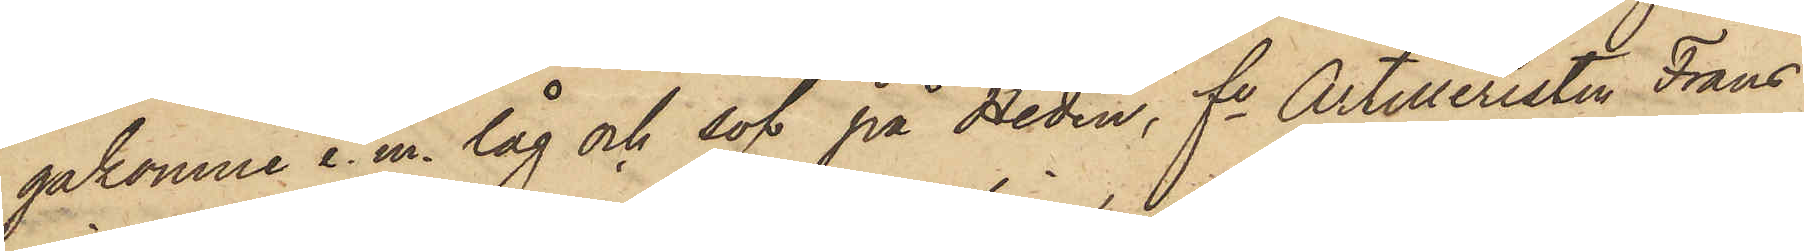gakomne e. m. låg och sof på Heden, fe Artilleristen Frans
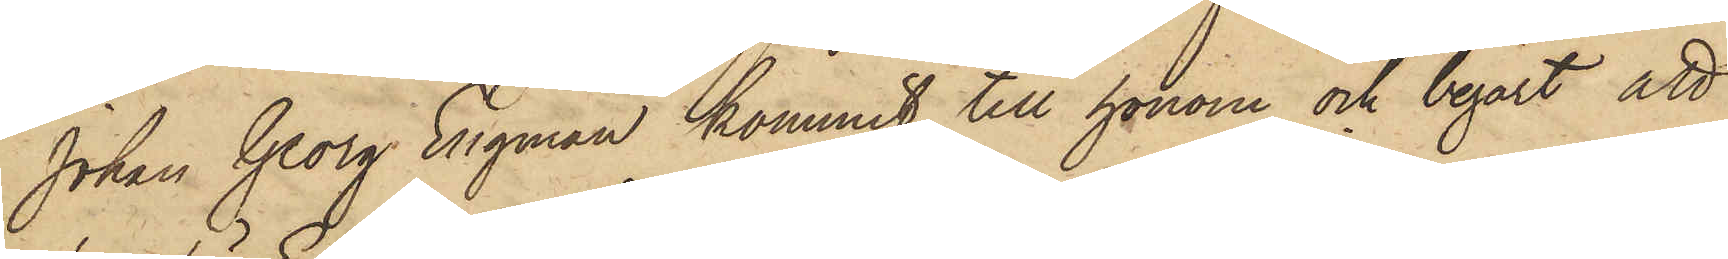Johan Georg Engman kommit till honom och begärt att
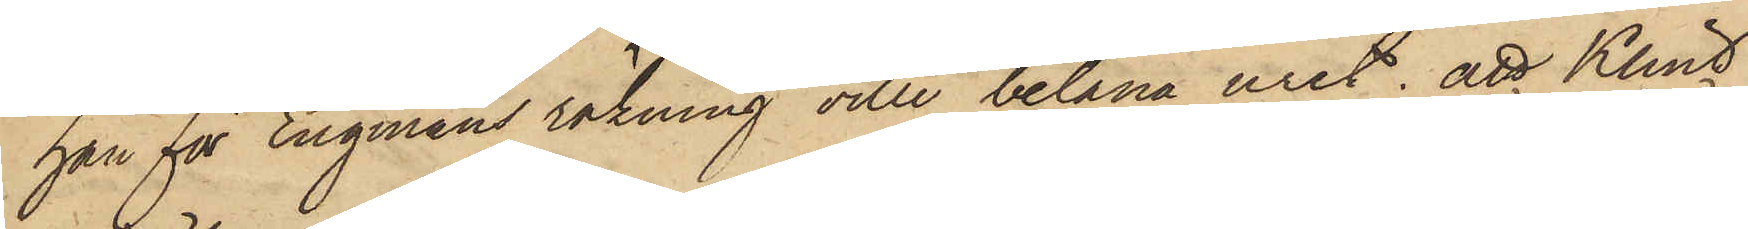han för Engmans räkning ville belåna uret; att Klint
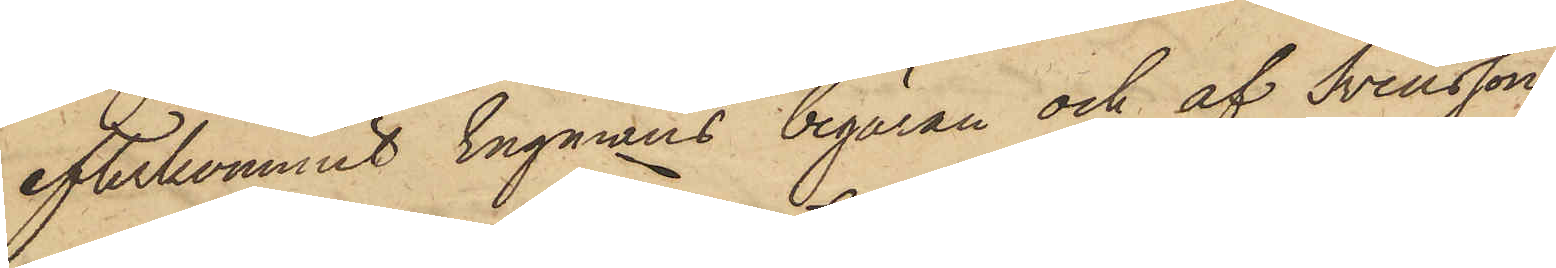efterkommit Engmans begäran och af Svensson
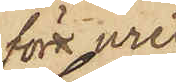förr uret
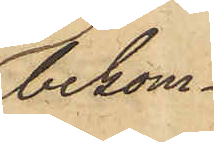bekom¬
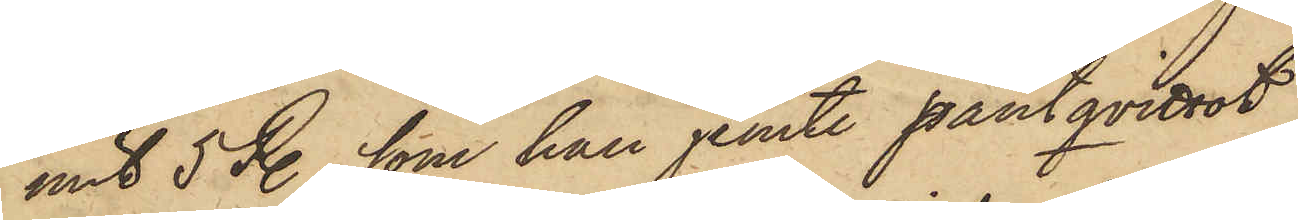mit 5 R., som han jemte pantqvittot
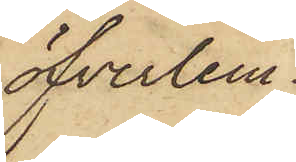öfverlem¬
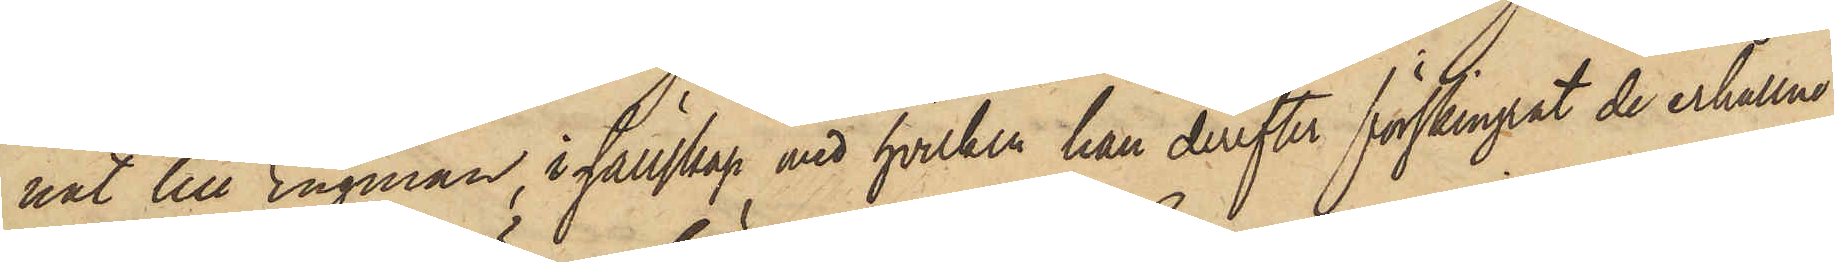nat till Engman, i sällskap med hvilken han derefter förskingrat de erhållne
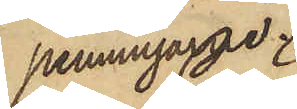penningarne.
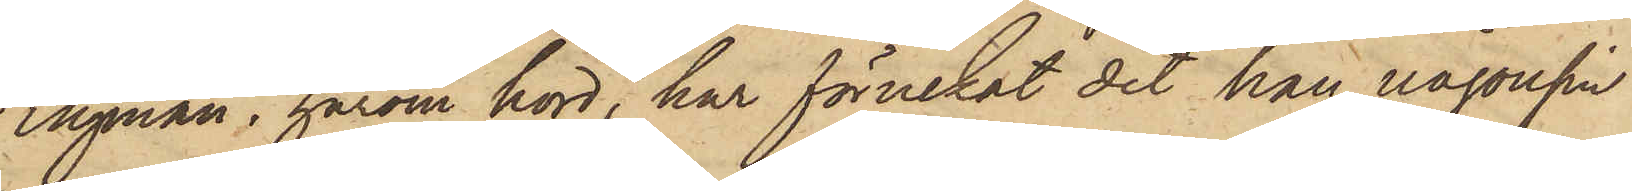Engman, härom hörd, har förnekat det han någonsin
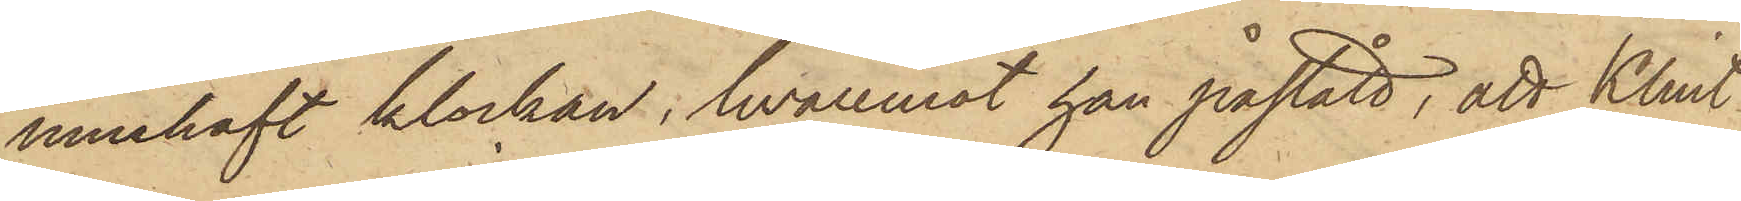innehaft klockan, hvaremot han påstått, att Klint
